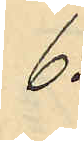6:
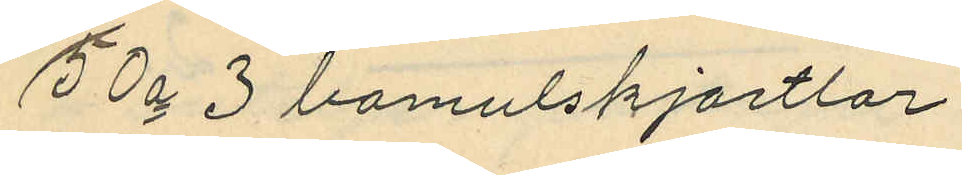50o 3 bomulskjortlar
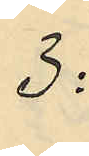3:
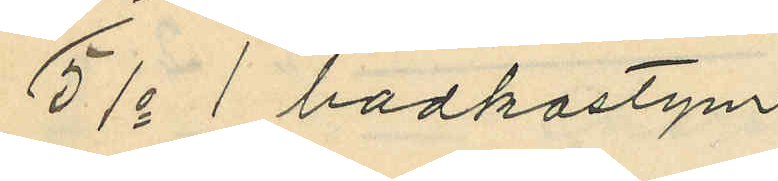51o 1 badkostym
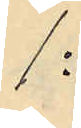1:
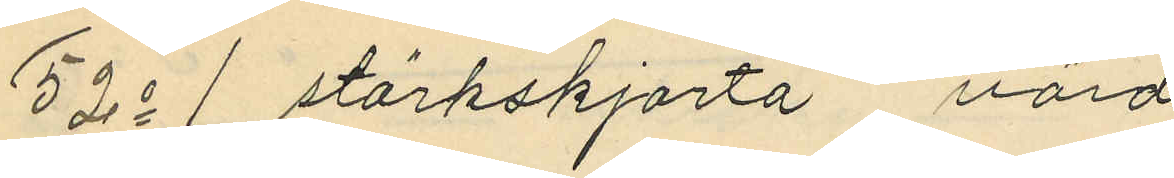52o 1 stärkskjorta värd
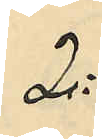2:
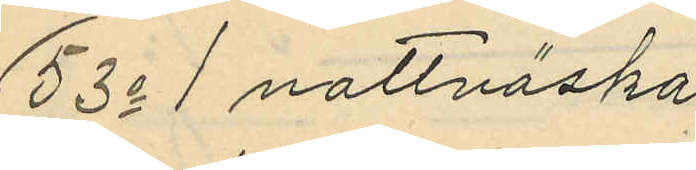53o 1 nattväska
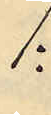1:
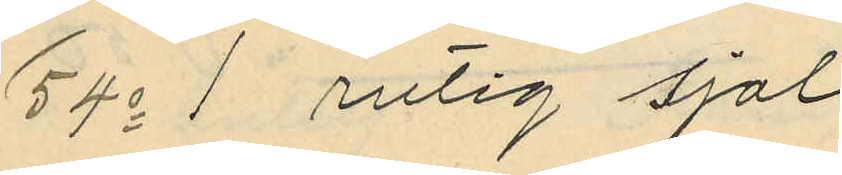54o 1 rutig sjal
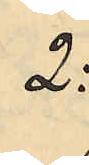2:
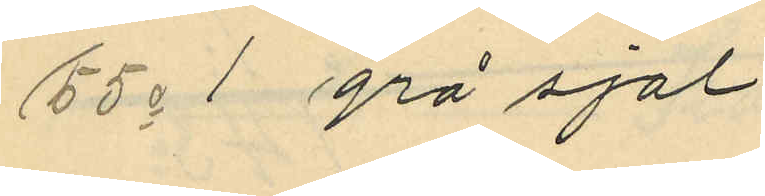55o 1 grå sjal
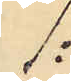1:
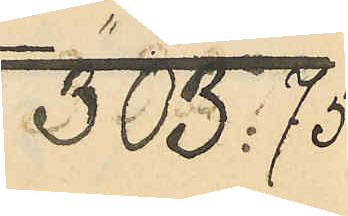303:75
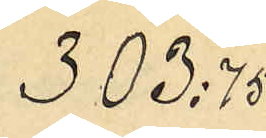303:75
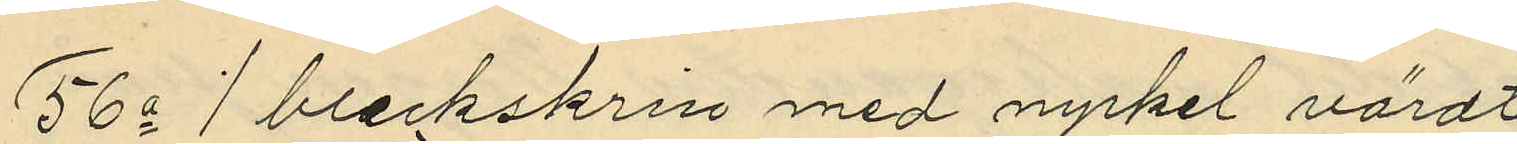56o 1 bleckskrin med nyckel värdt
